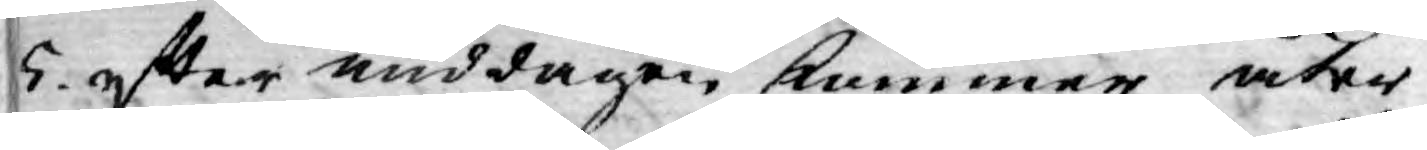5 efter middagen kommer åter
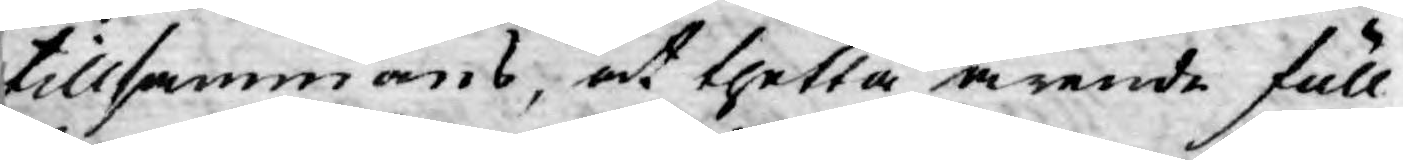tillsammans, at thetta ärende full¬
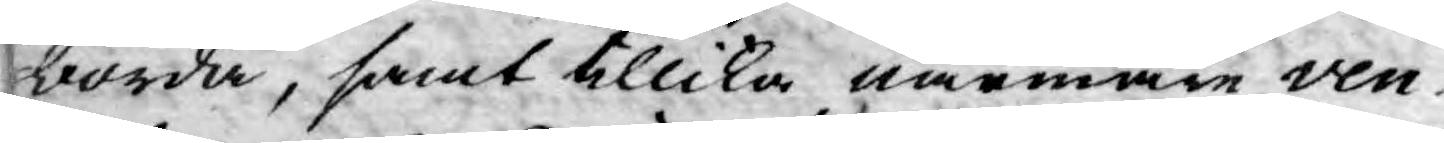borda, samt tillika närmare ven¬
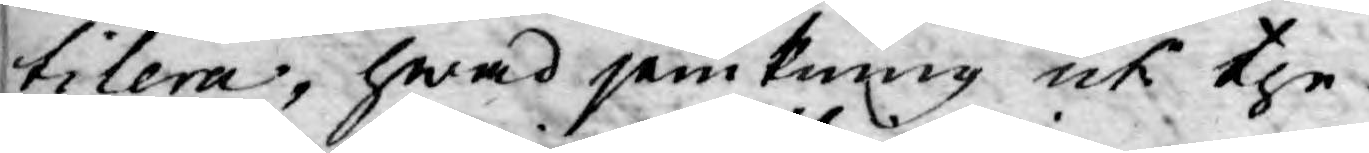tilera, hwad jemkning uti the
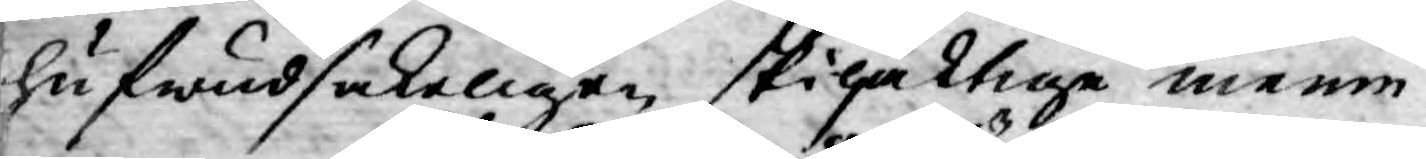hufwudsakeligen skiljaktige menin¬
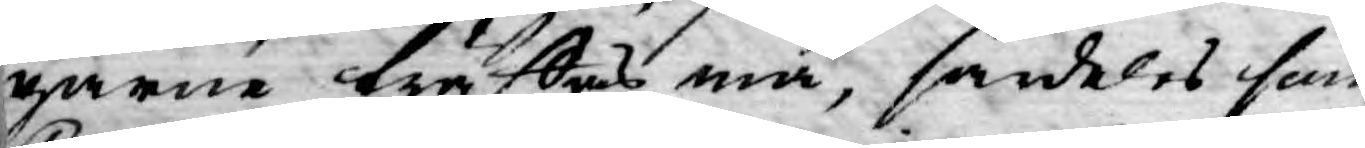garne träffas må, särdeles som
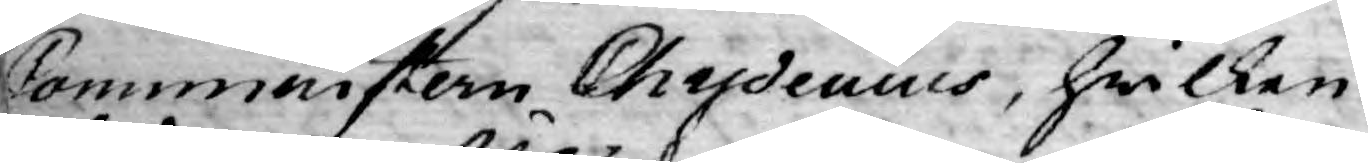Comministern Chydeniys, hwilken
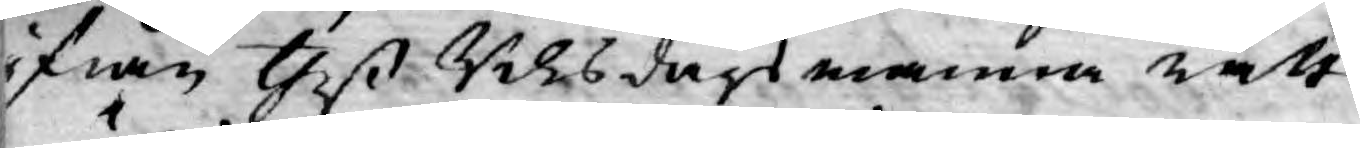ifrån theß Riksdagsmanna rätt
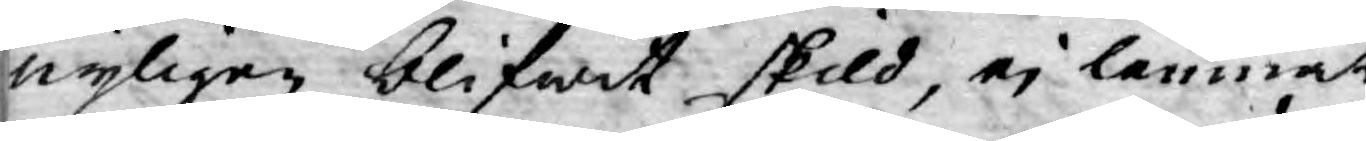nyligen blifwit skild, ej lemnat
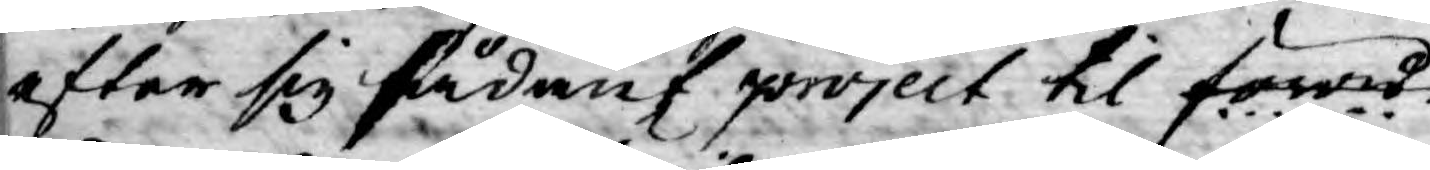efter sig sådant. project til förord¬
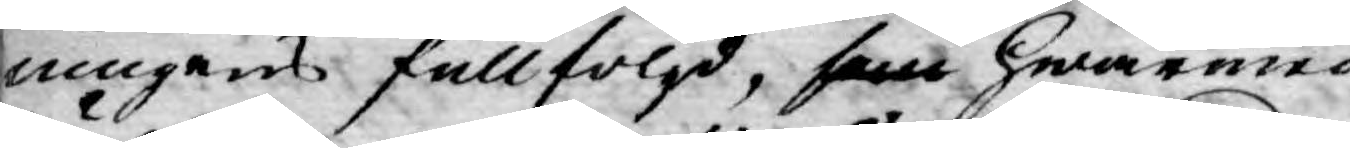ningens fullföljd, som hwarmed
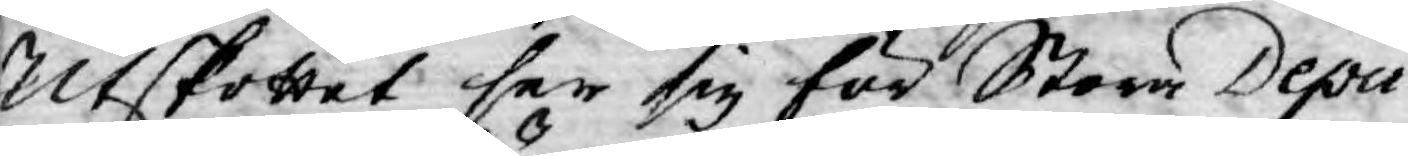Utskottet ser sig för Stora Depu¬
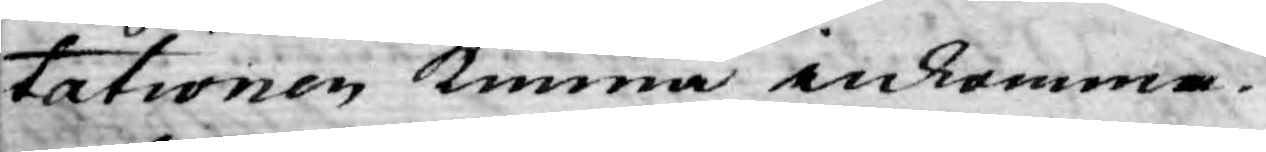tationen kunna inkomma.
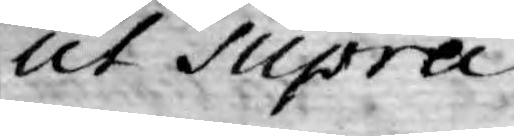Ut Supra.
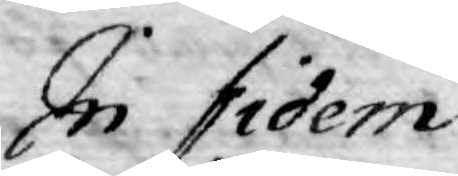In fidem
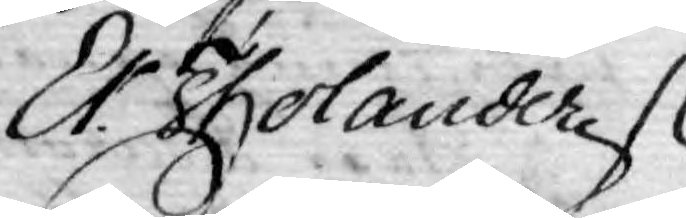Er. Tholander
